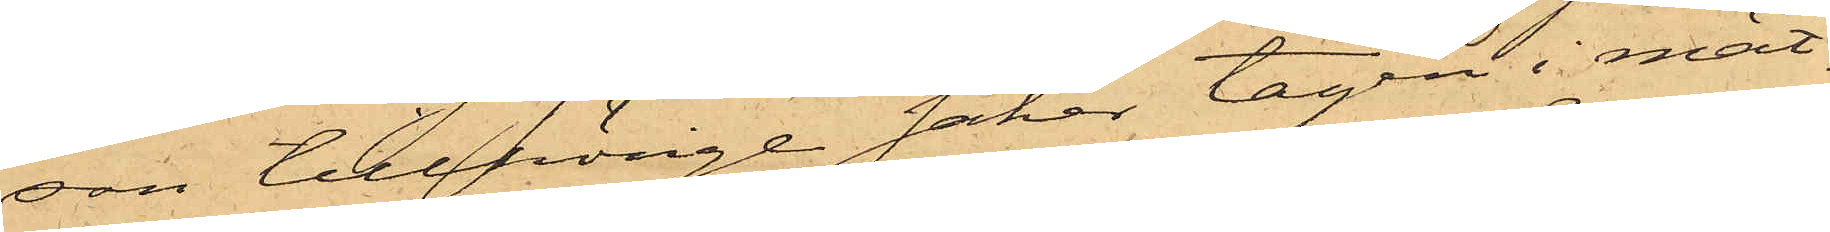son tillhörige saker tagen i mät.
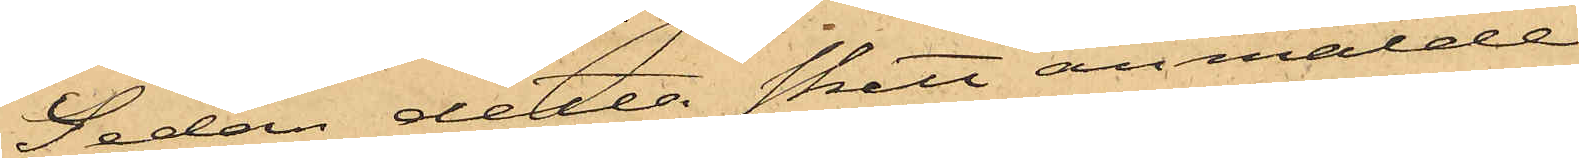Sedan detta skett anmälde
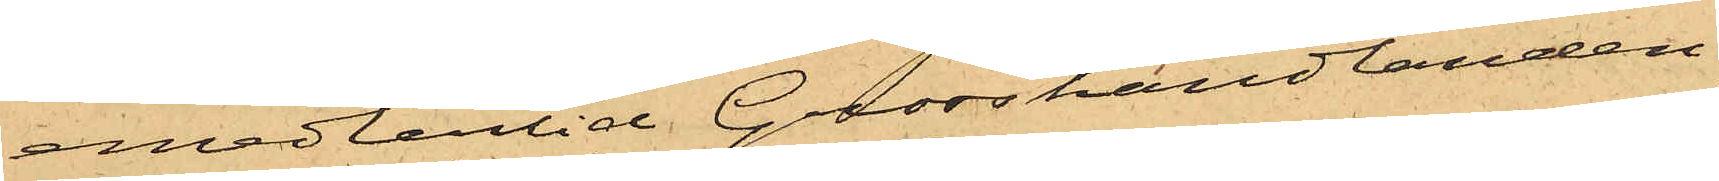emedlertid Grosshandlanden
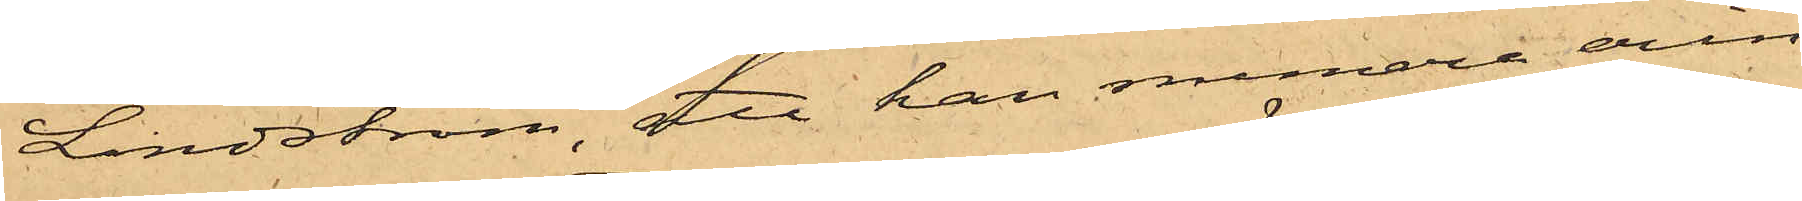Lindström, att han numera erin¬
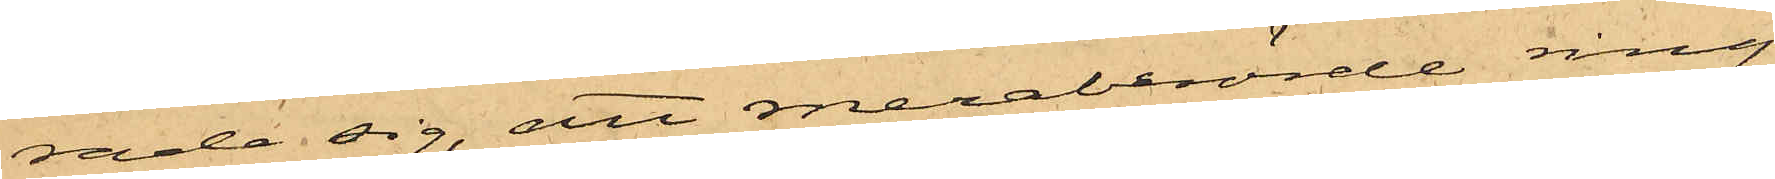rade sig, att meraberörde ring
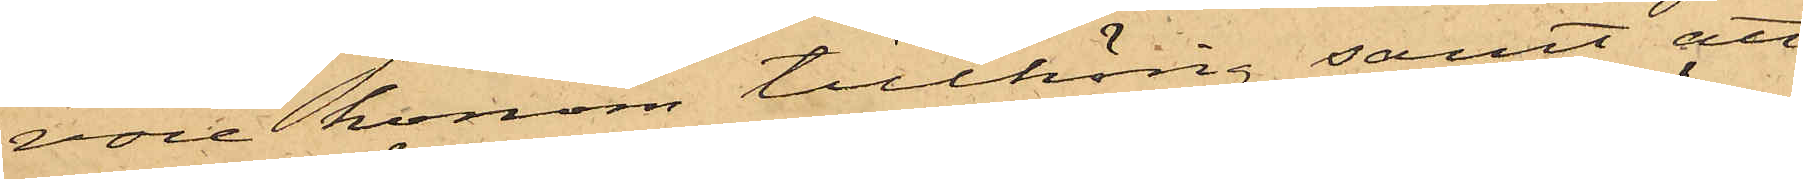vore honom tillhörig samt att
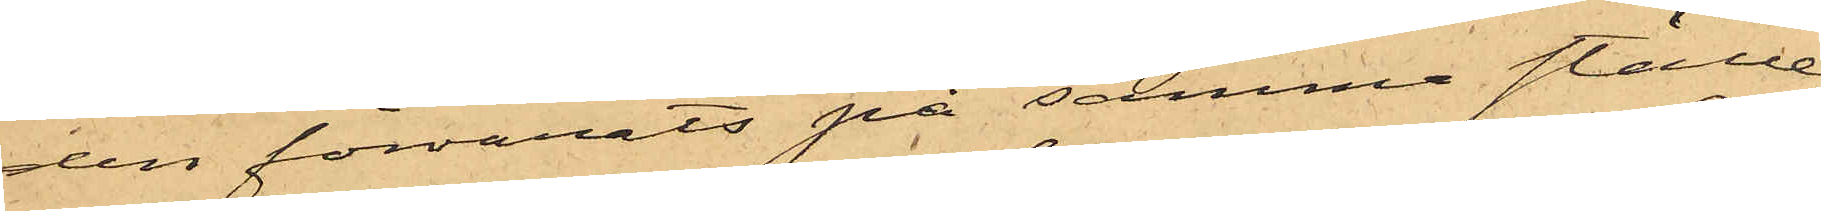den förvarats på samma ställe
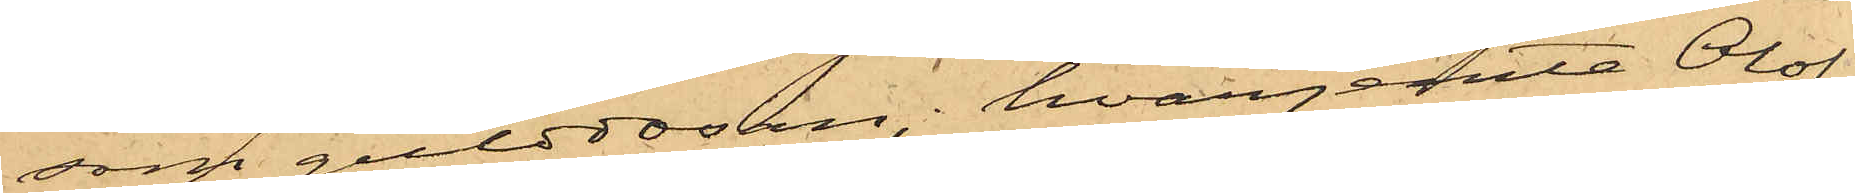som gulddosan, hvarjemte Olof
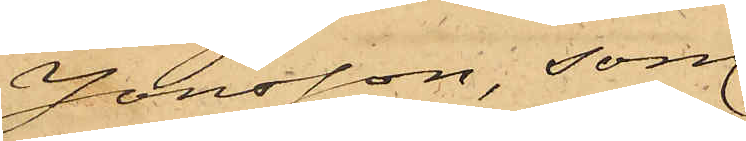Jonsson, som
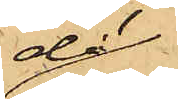då
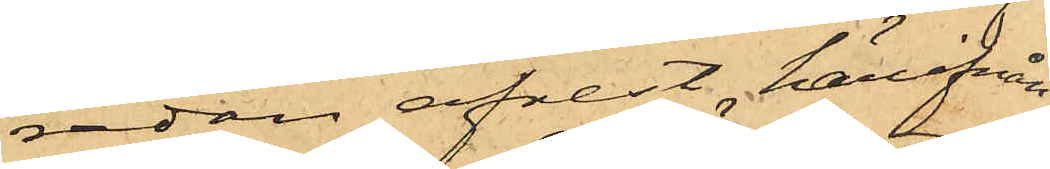redan afrest härifrån
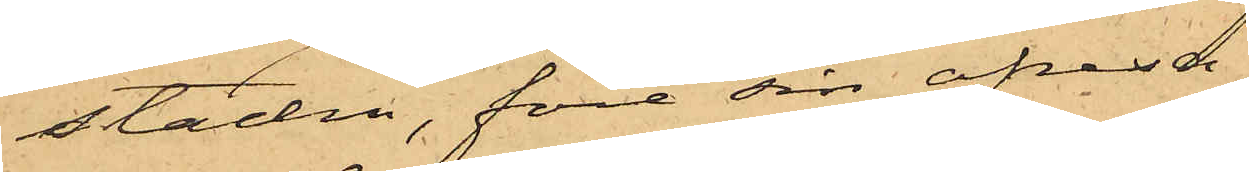staden, före sin afresa
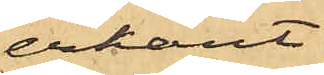erkänt
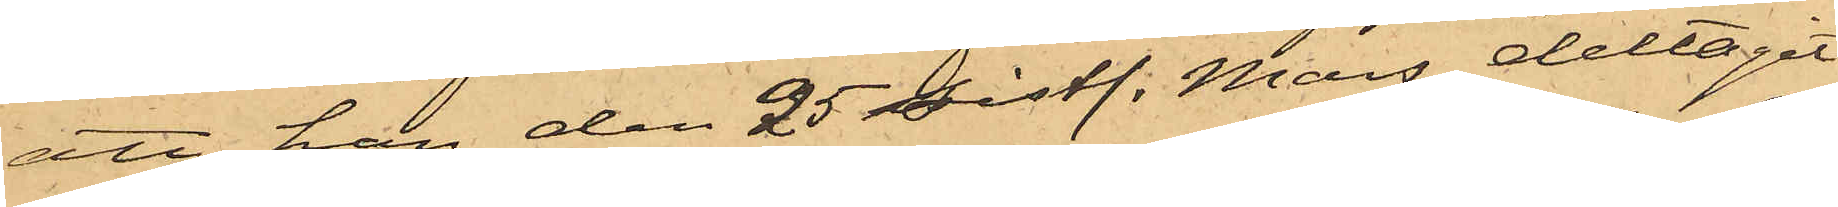att han den 25 sistl. Mars deltagit
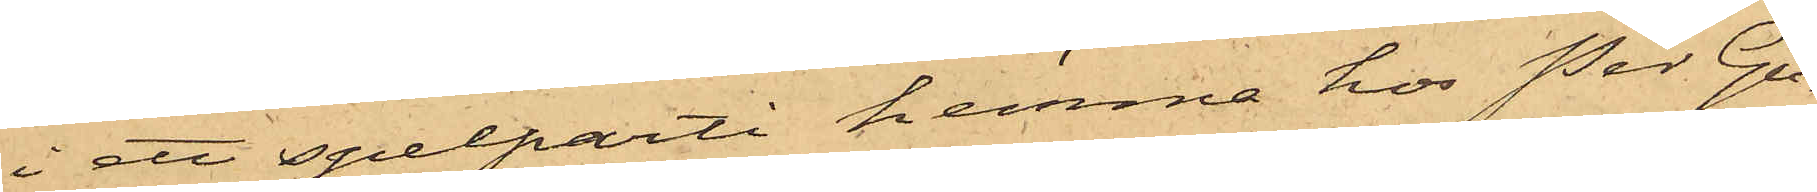i ett spelparti hemma hos Per Gu¬
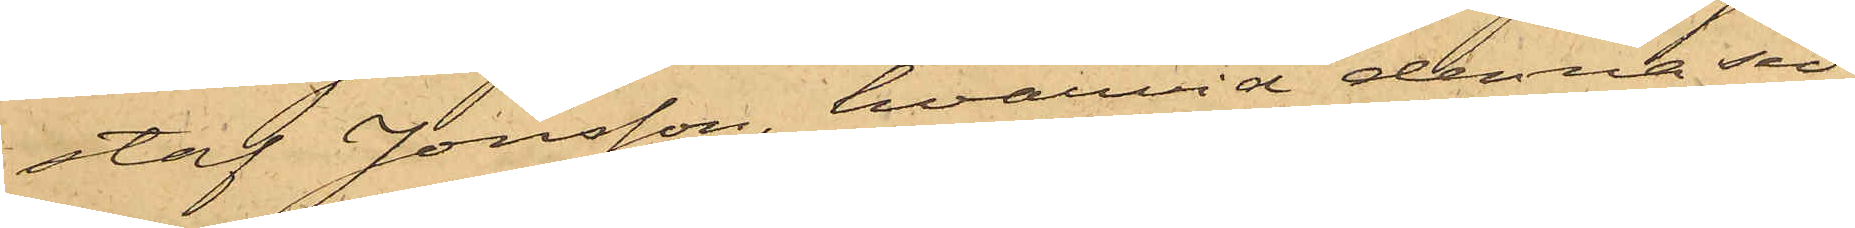staf Jonsson, hvarvid denna sed¬
